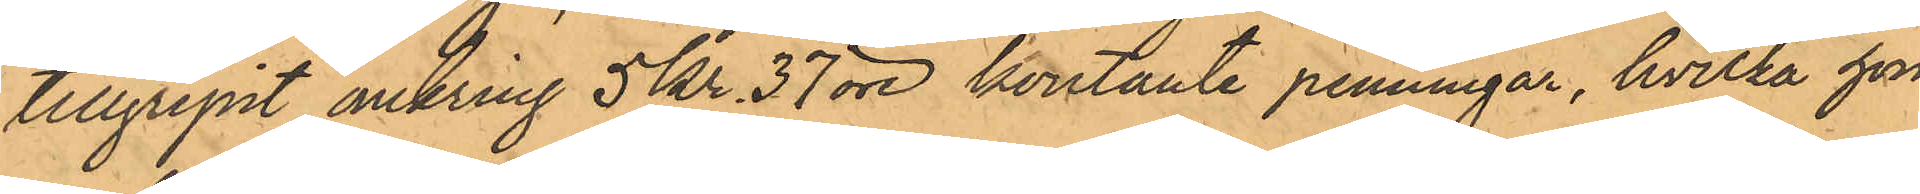tillgripit omkring 5 kr. 37 öre kontante penningar, hvilka hon
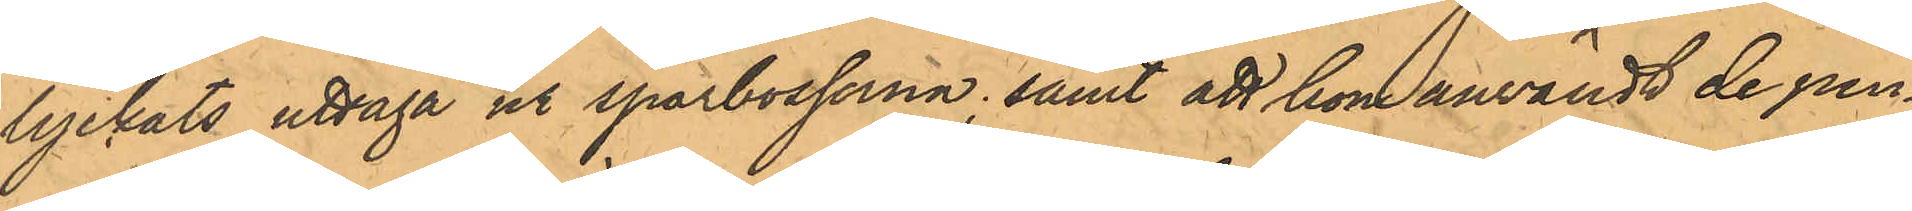lyckats uttaga ur sparbosserna; samt att hon användt de pen¬
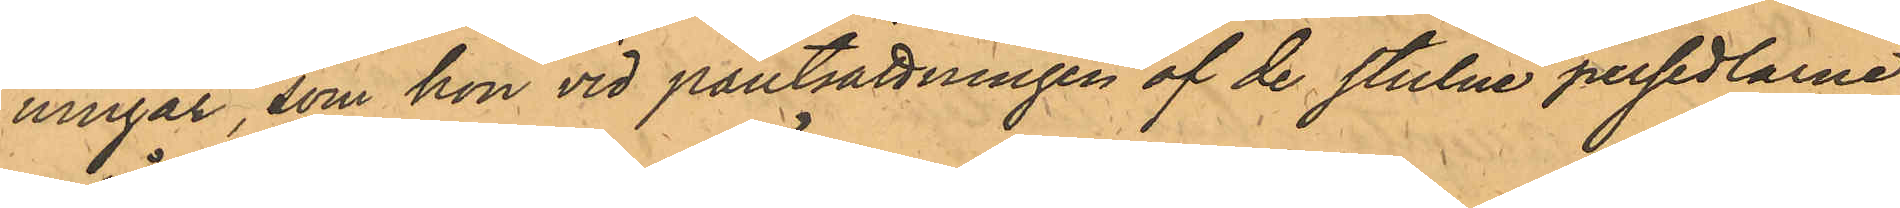ningar, som hon vid pantsättningen af de stulne persedlarne
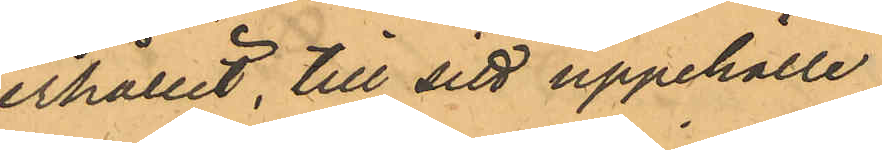erhållit, till sitt uppehälle.
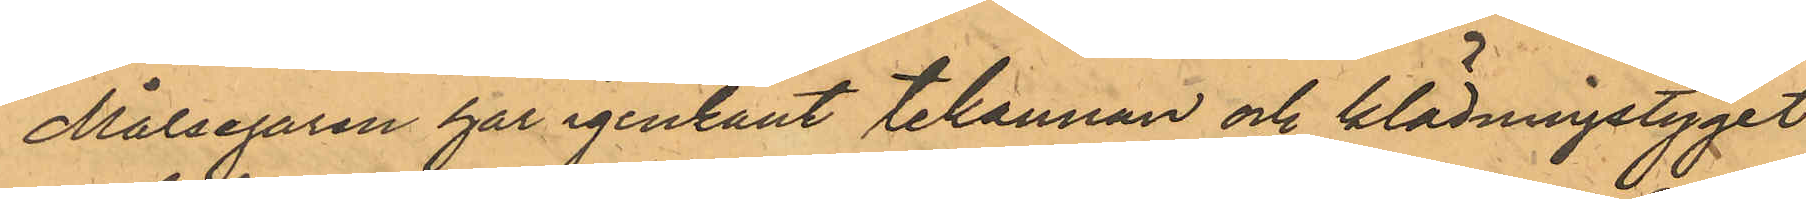Målsegaren har igenkänt tekannan och klädningstyget
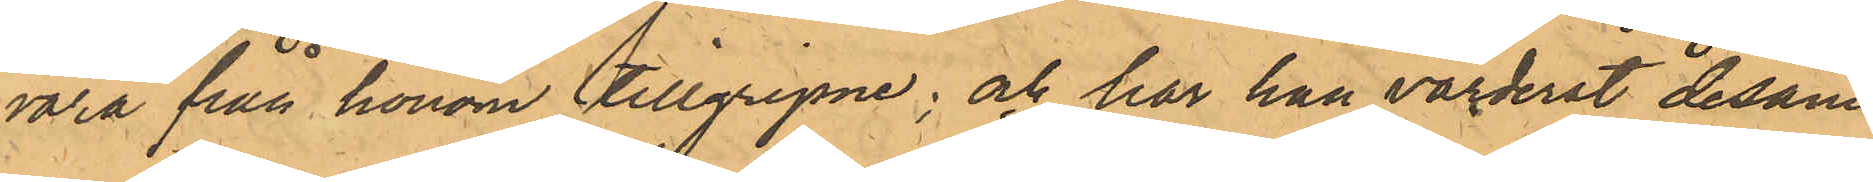vara från honom tillgripne; och har han värderat desam¬
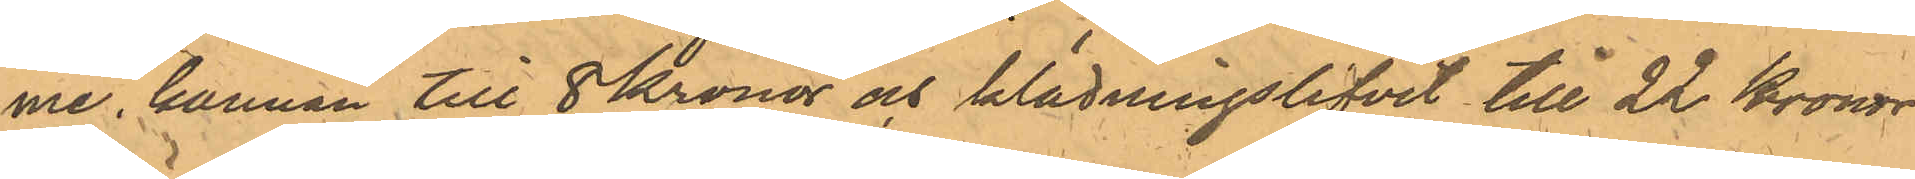me, kannan till 8 kronor och klädningslifvet till 22 Kronor
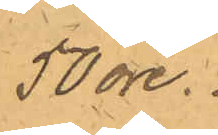50 öre.
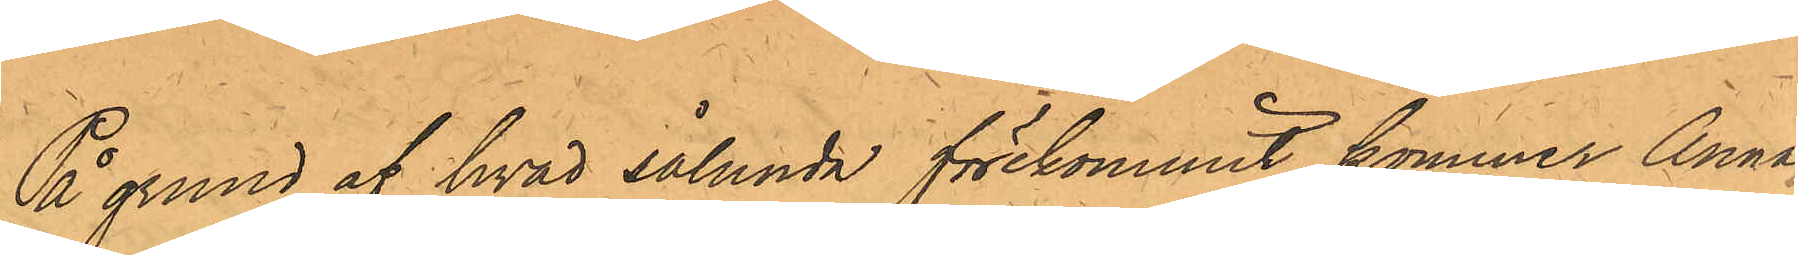På grund af hvad sålunda förekommit, kommer Anna
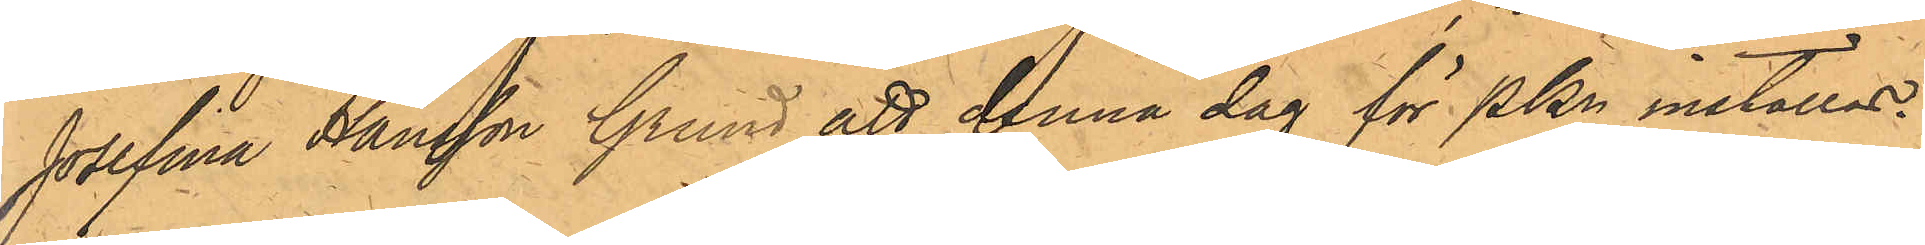Josefina Hansson Grund att denna dag för PKn inställas.
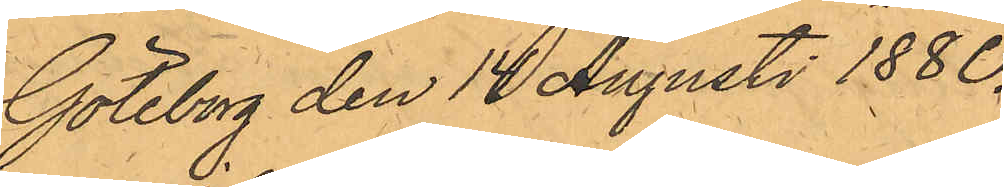Göteborg den 14 Augusti 1880.
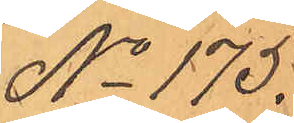No 175.
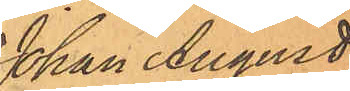Johan August
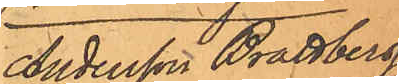Andersson Brattberg,
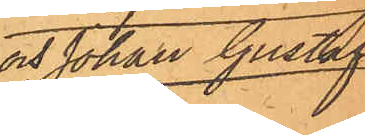och Johan Gustaf
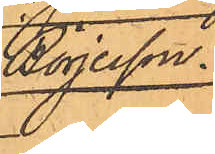Börjesson.
